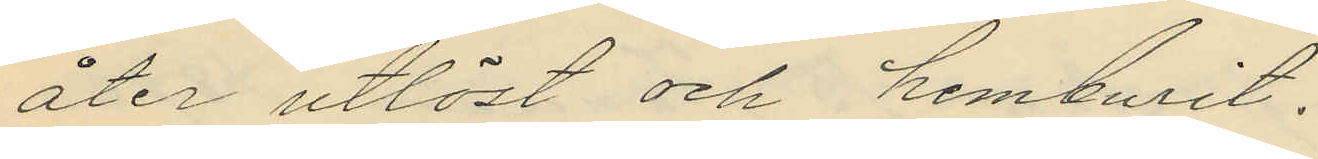åter utlöst och hemburit.
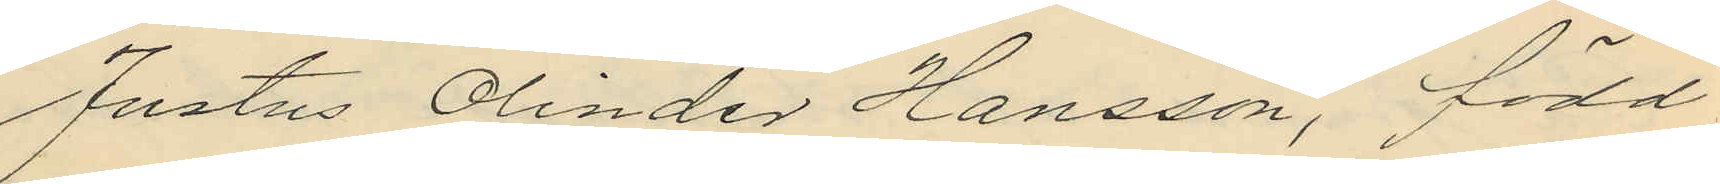Justus Olinder Hansson, född
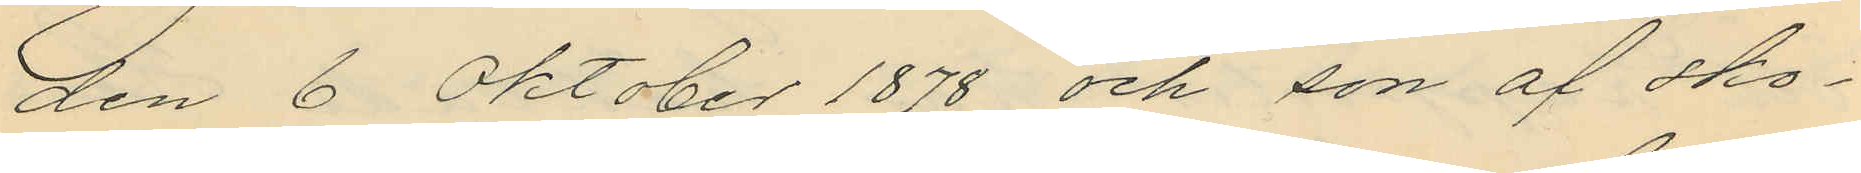den 6 Oktober 1878 och son af sko¬
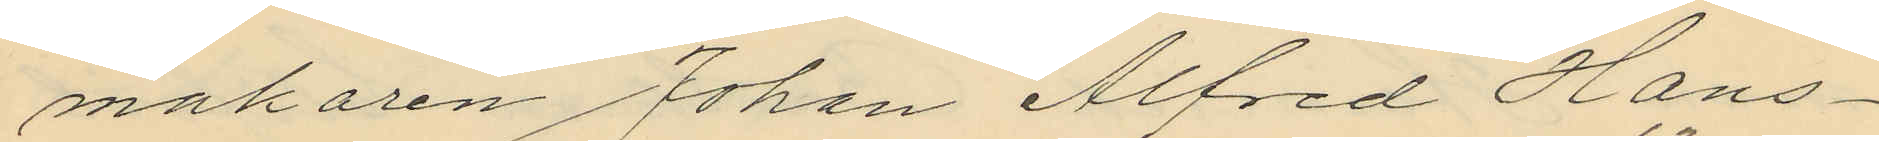makaren Johan Alfred Hans¬
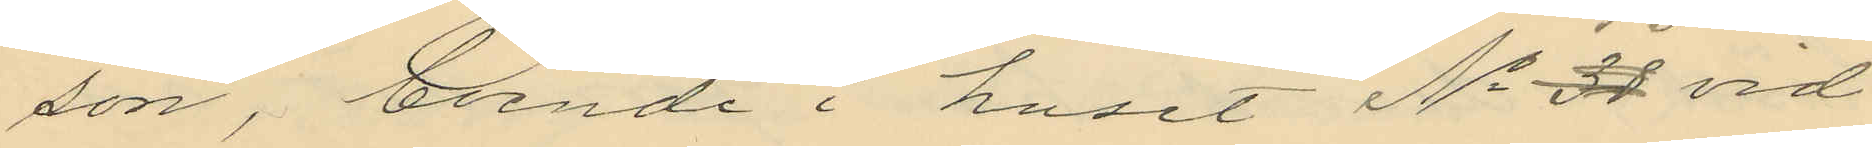son, boende i huset No 13 vid
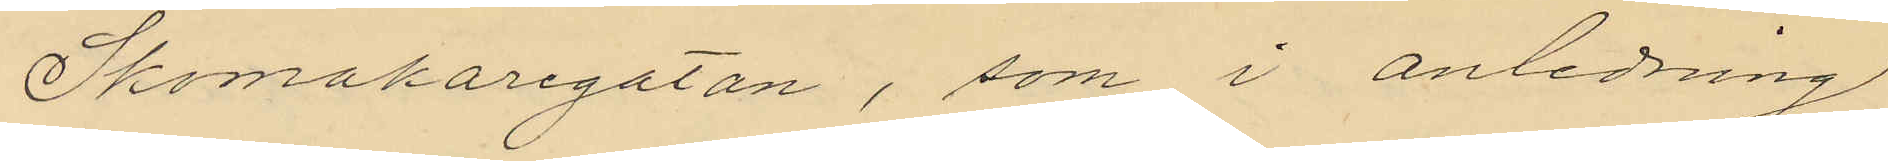Skomakaregatan, som i anledning
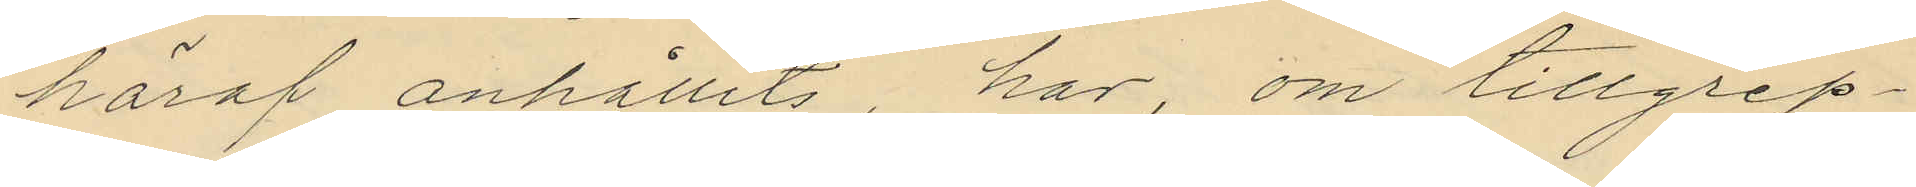häraf anhållits, har, om tillgrep¬
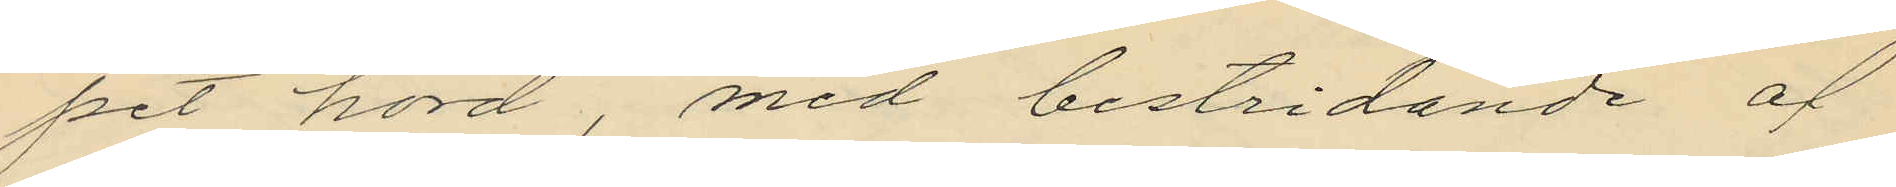pet hörd, med bestridande af
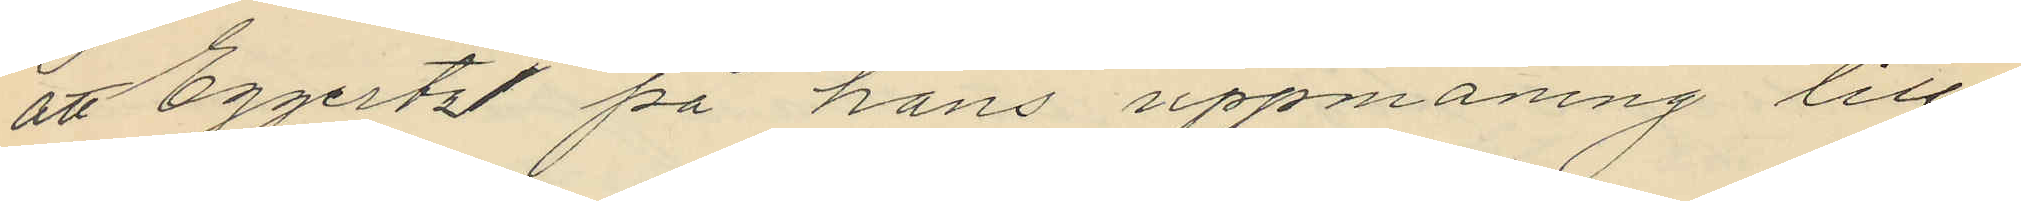att Eggertz på hans uppmaning till¬
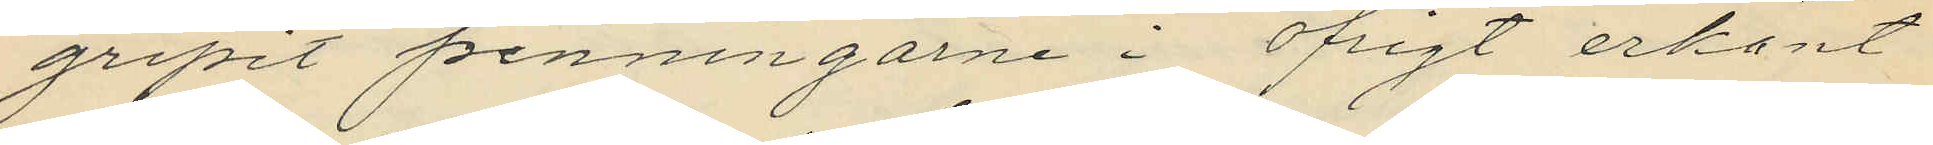gripit penningarne i öfrigt erkänt
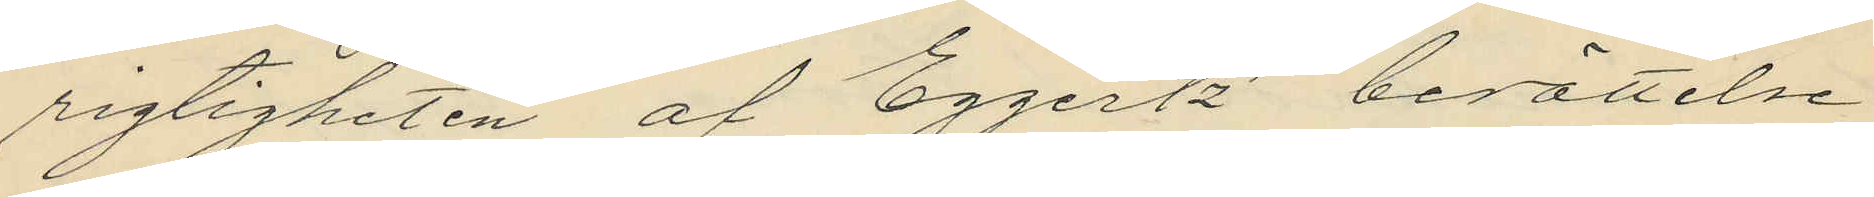rigtigheten af Eggertz´ berättelse
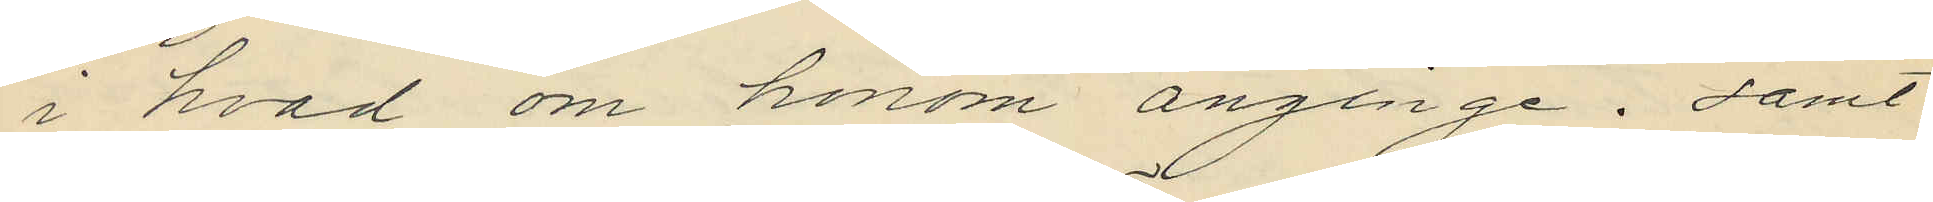i hvad om honom anginge; samt
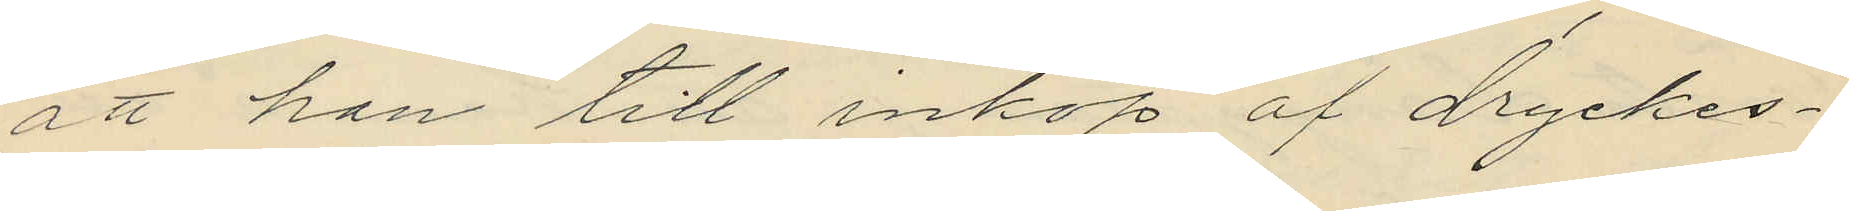att han till inköp af dryckes¬
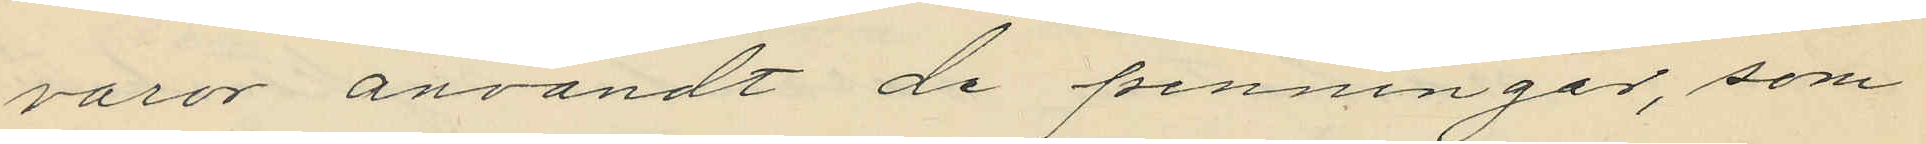varor användt de penningar, som
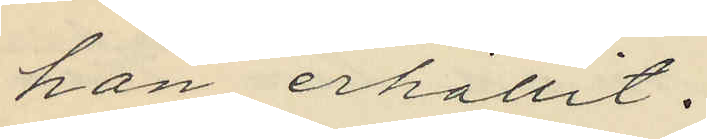han erhållit.
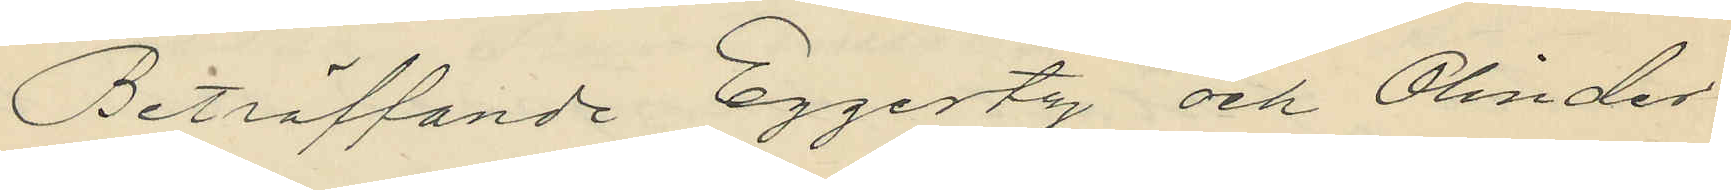Beträffande Eggertz och Olinder
